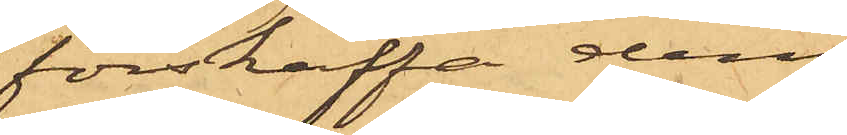förskaffa dem
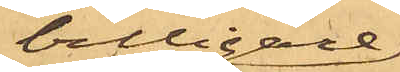billigare
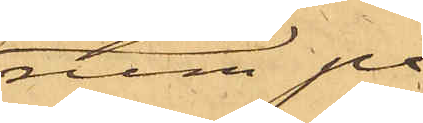rum på
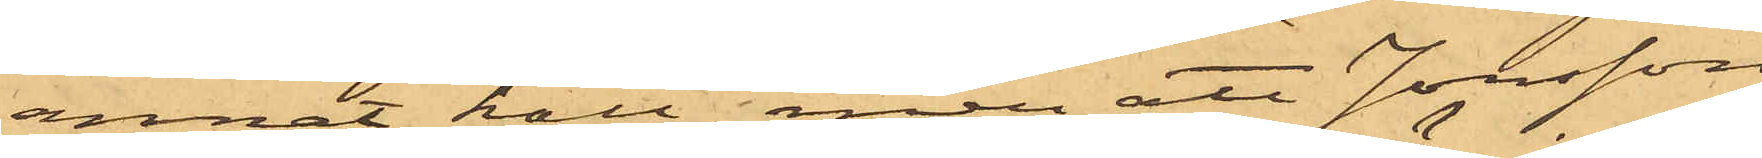annat håll, men att Jonsson
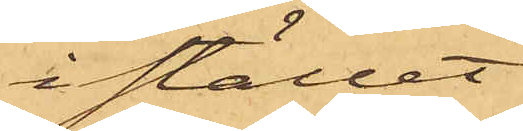i stället
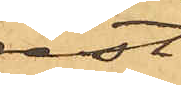rest
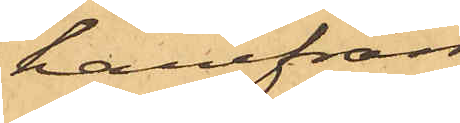härifrån
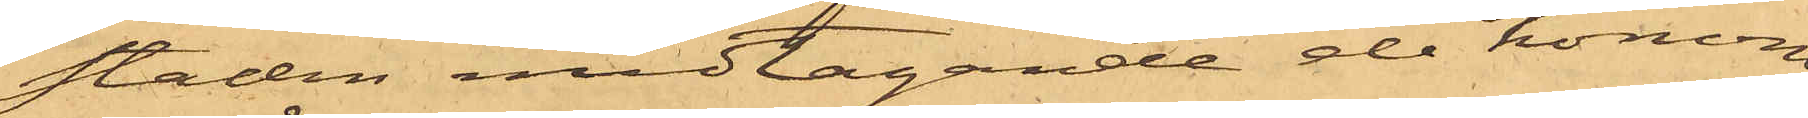staden medtagande de honom
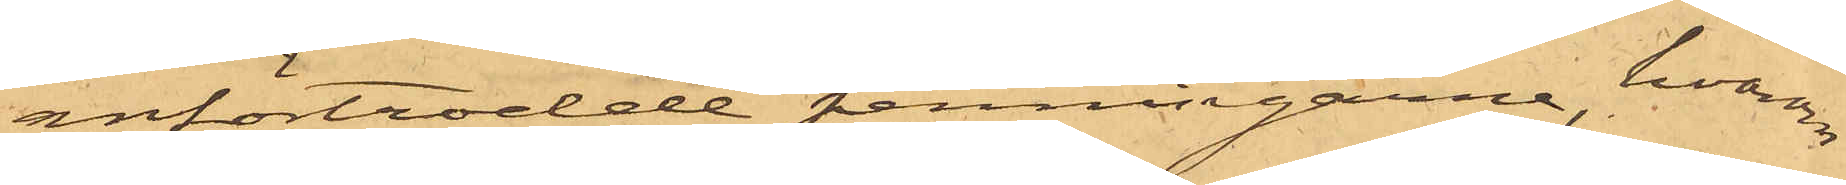anförtrodde penningarne, hvarom
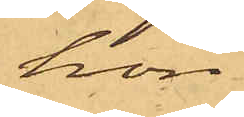hon
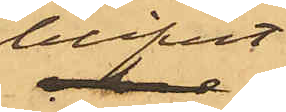blifvit
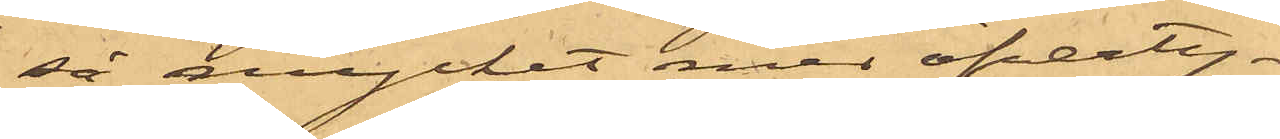så mycket med öfverty¬
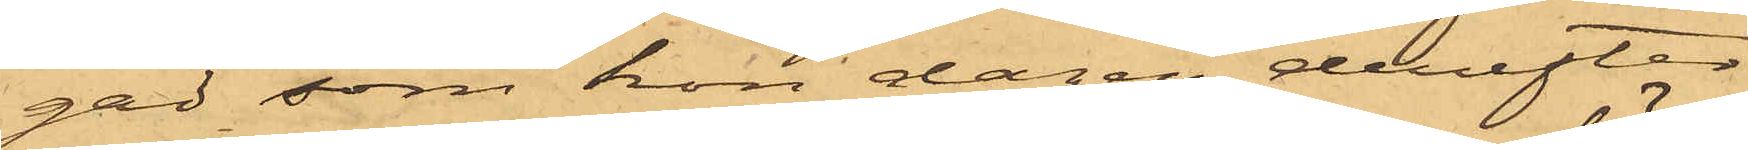gad, som hon dagen derefter
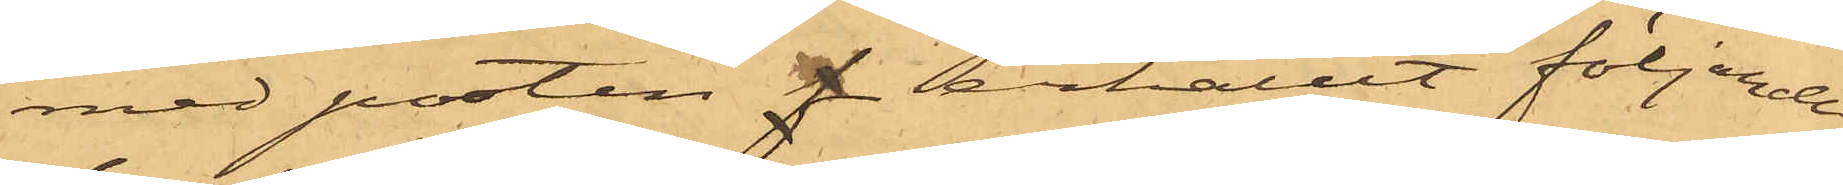med posten erhållit följande
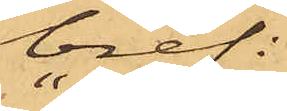bref:
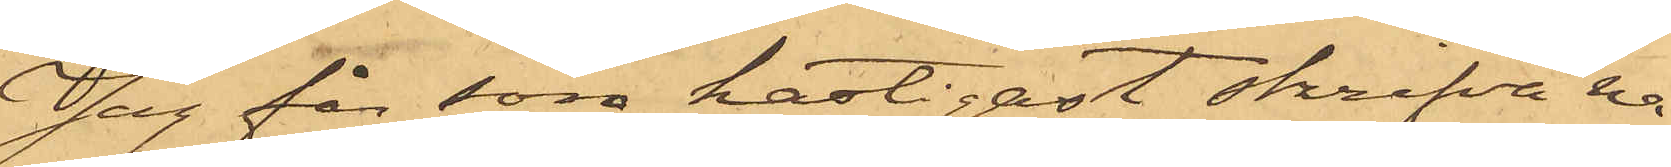"Jag får som hastigast skrifva nå¬
